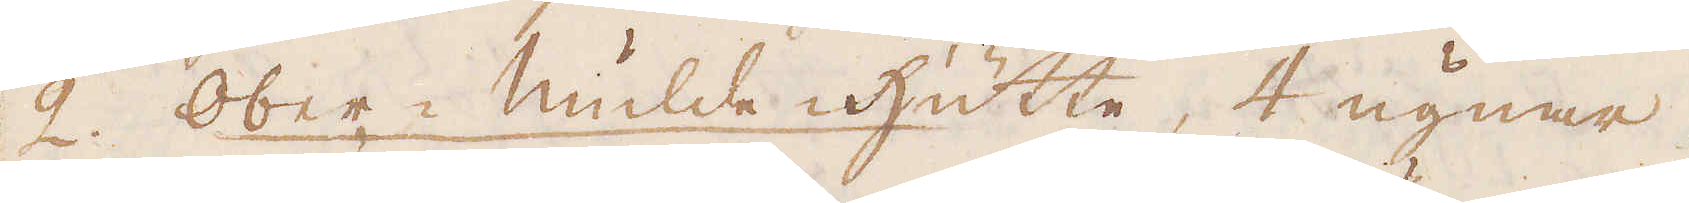2. Ober-Mulde hütte, 4 ugnar
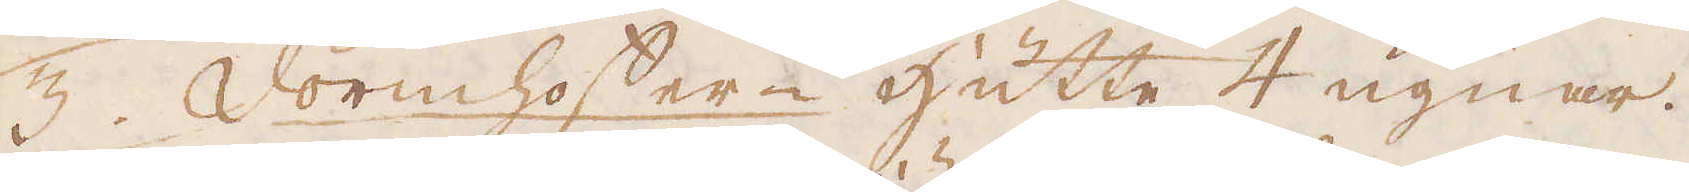3. Vörmhoffer-Hütte 4 ugnar.
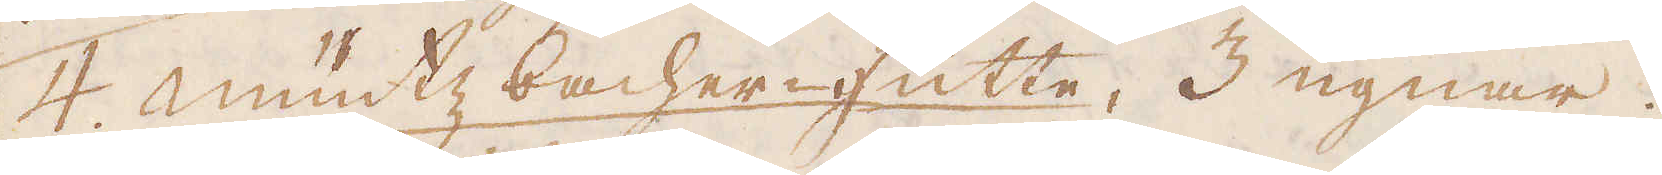4. Müntz bacher-hütte, 3 ugnar.
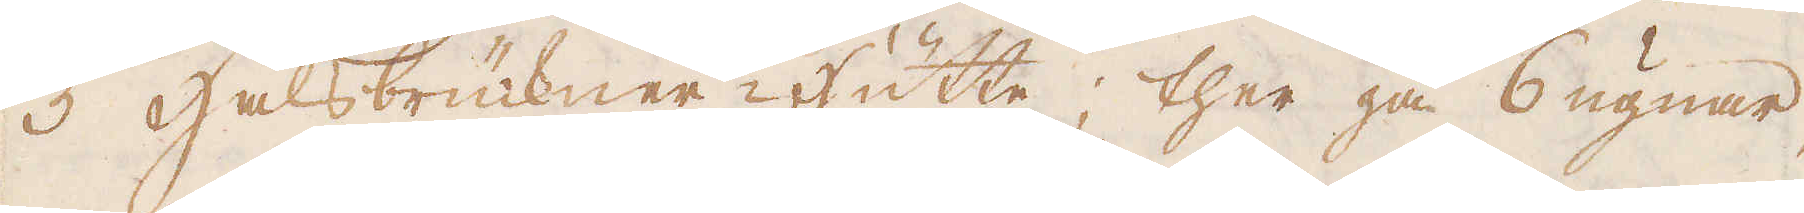5 Halsbrükner-Hütte; ther gå 6 ugnar
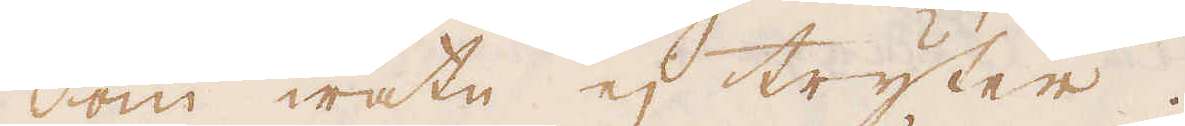om watn ej tryter.
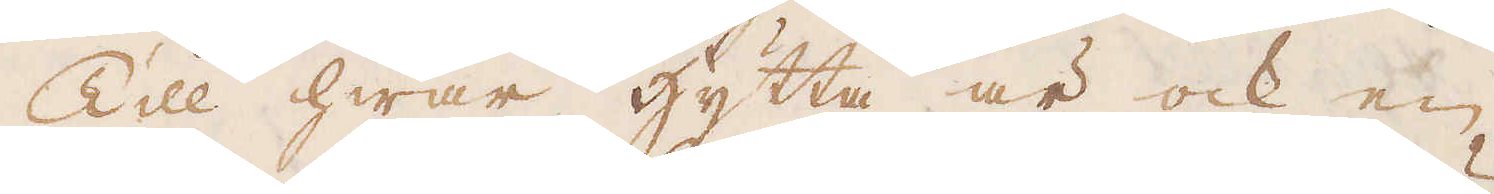Till hwar hytta är ock en
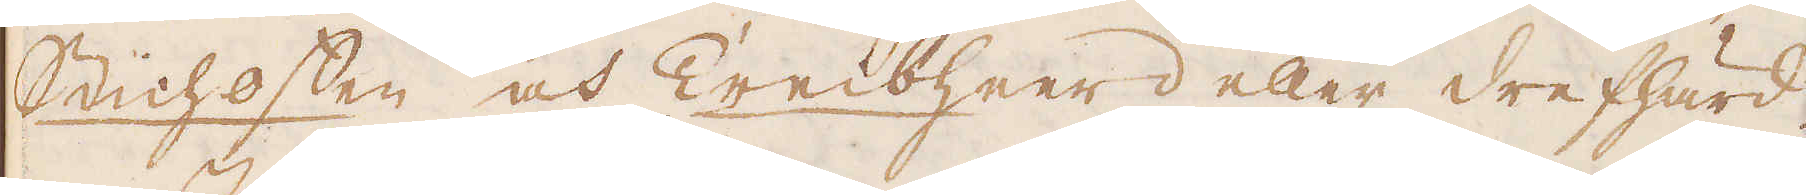Stichoffen och Treisheerd eller drefhärd.
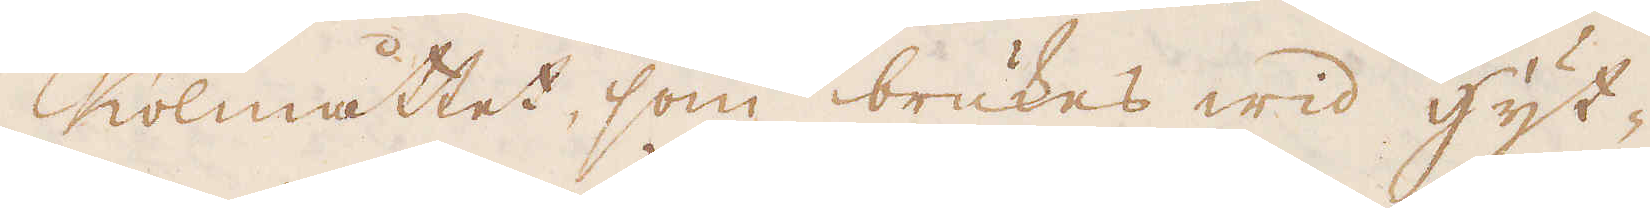Kolmåttet, som brukes wid hyt-
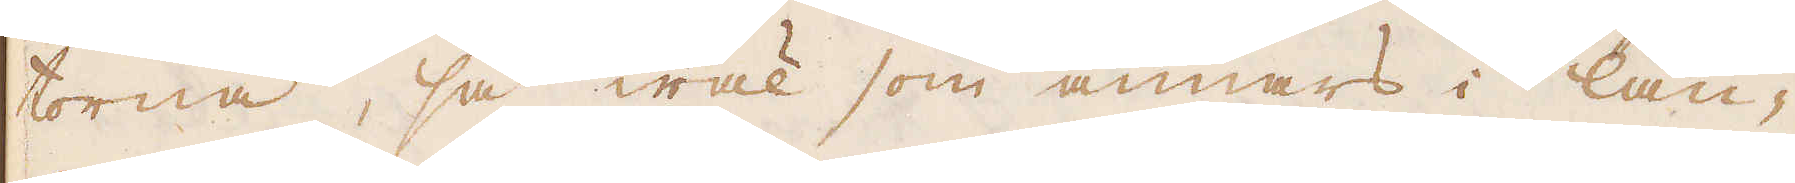torna, så wäl som annars i lan-
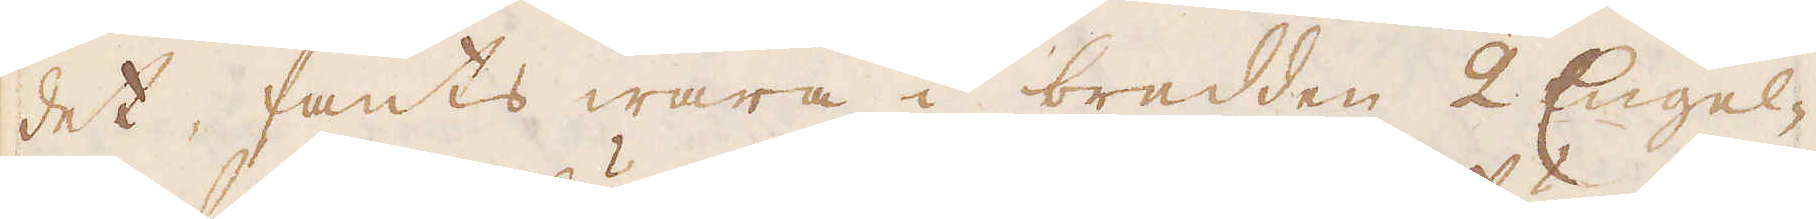det fants wara i bredden 2 Engel-
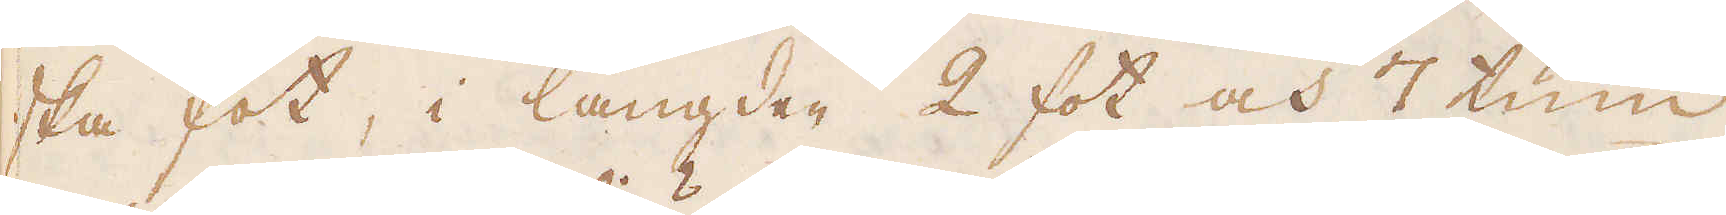ska fot, i längden 2 fot och 7 tum
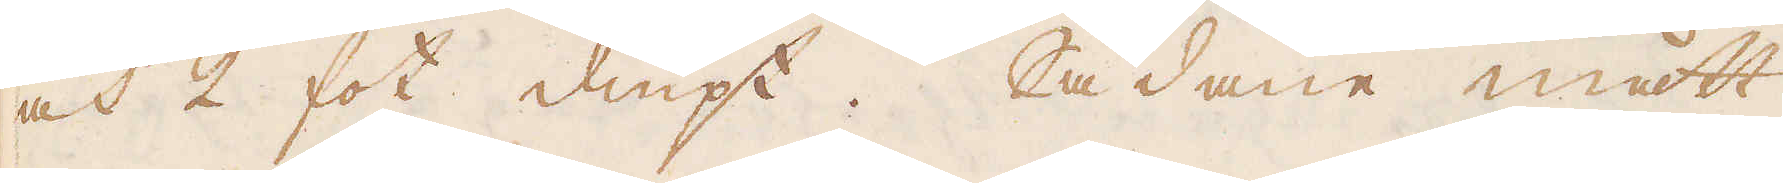och 2 fot diupt. Sådane mått
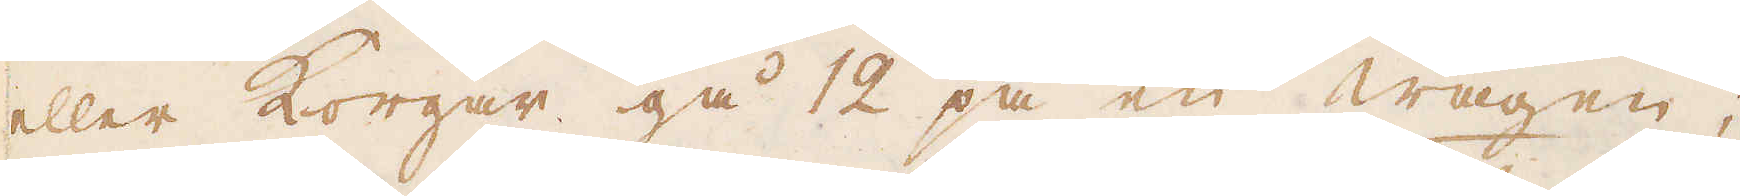eller Korgar gå 12 på en wagen;
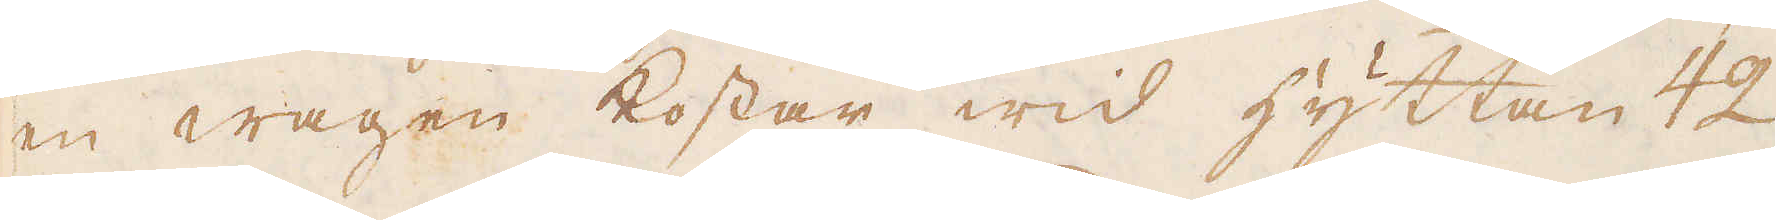en wagen kostar wid hyttan 42
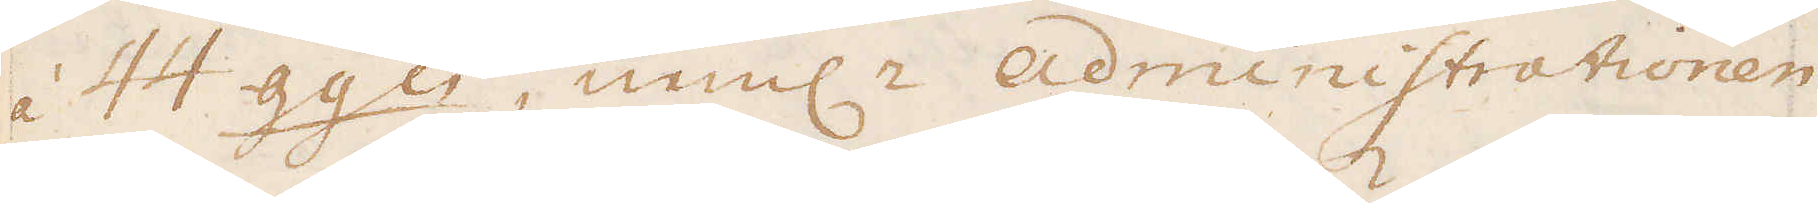à 44 ggn, neml:n Administrationen
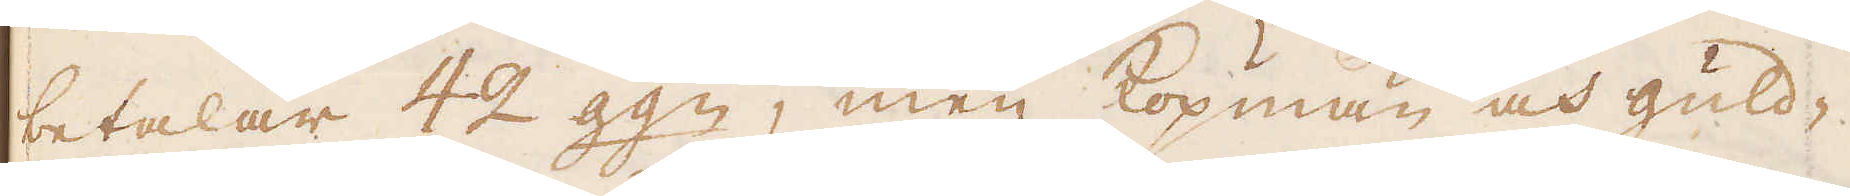betalar 42 ggn, men köpmän och guld-
